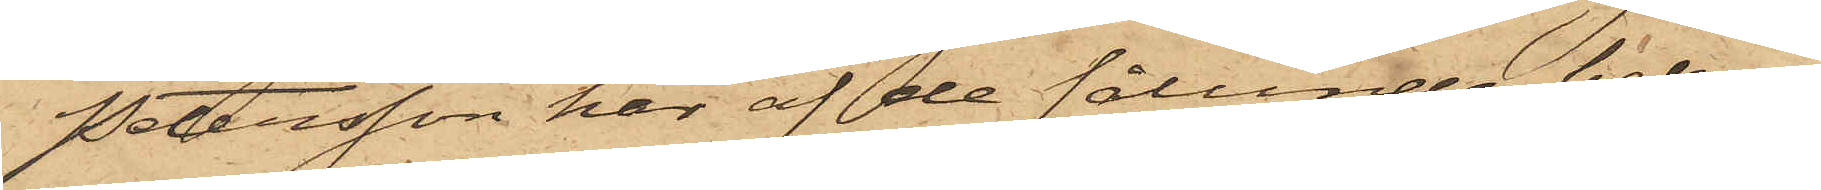Petersson har af de sålunda bekom¬
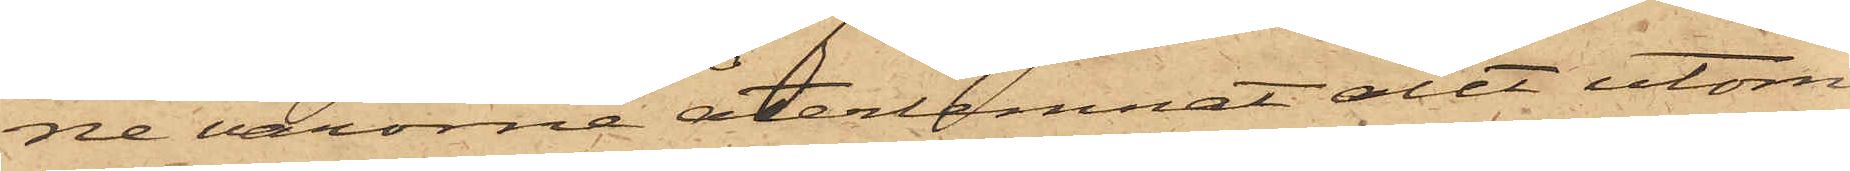ne varorna återlemnat allt utom
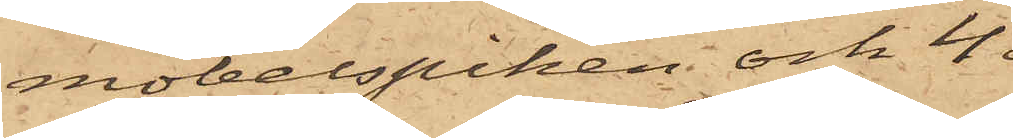möbelspiken och 4
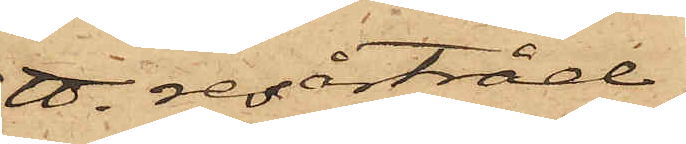℔. resårtråd,
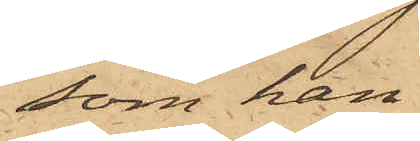som han
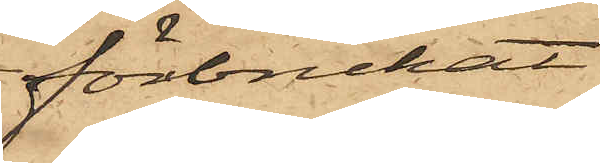förbrukat.
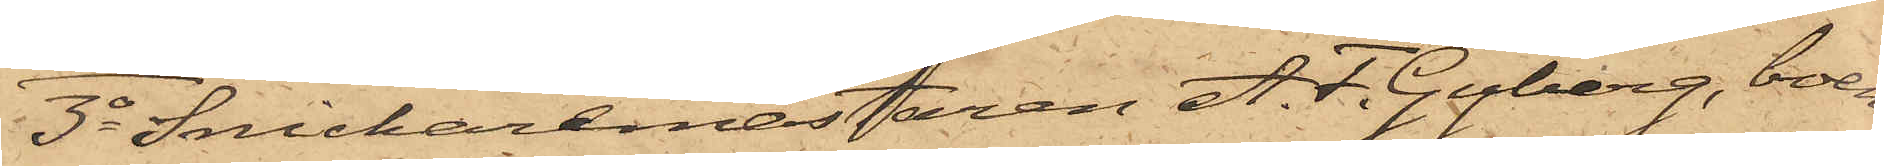3o Snickaremästaren A. F. Gyberg, boen¬
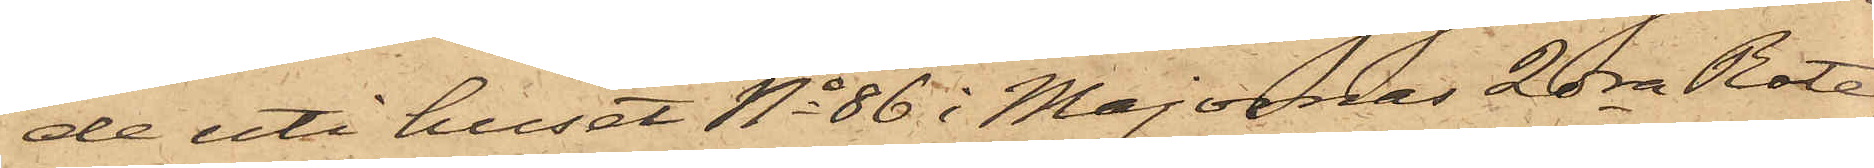de uti huset No 86 i Majornas 2dra Rote,
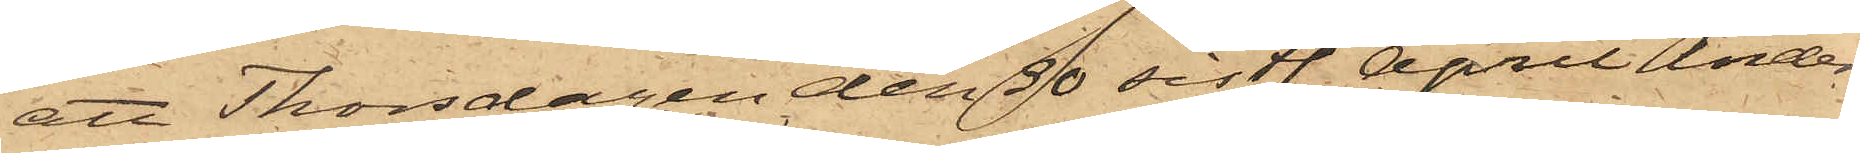att Thorsdagen den 30 sistl. April Anders¬
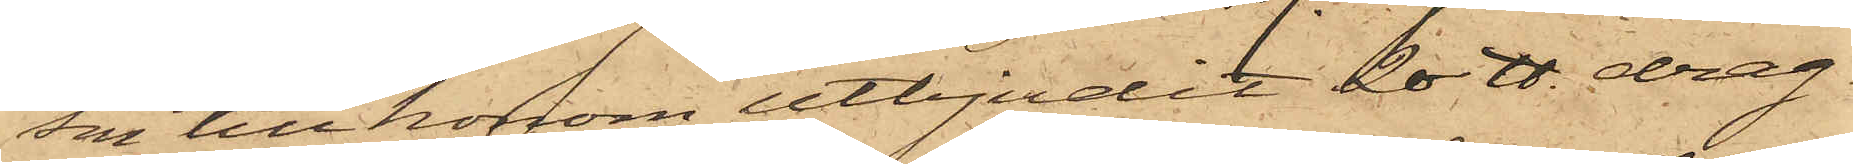son till honom utbjudit 20 ℔ drag¬
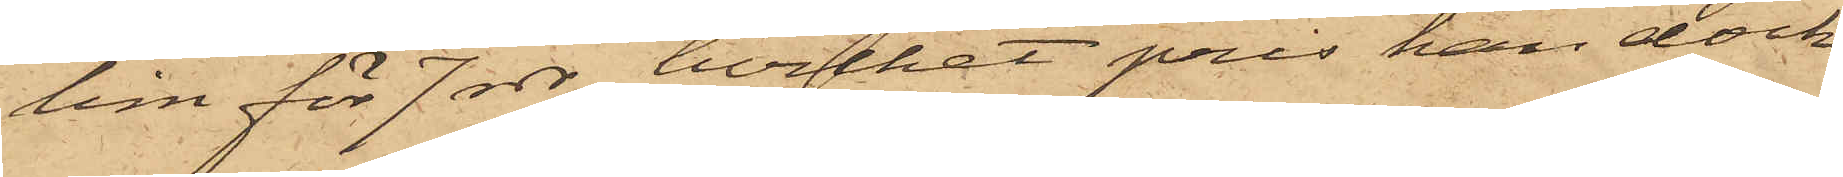lim för 7 rdr, hvilket pris han dock
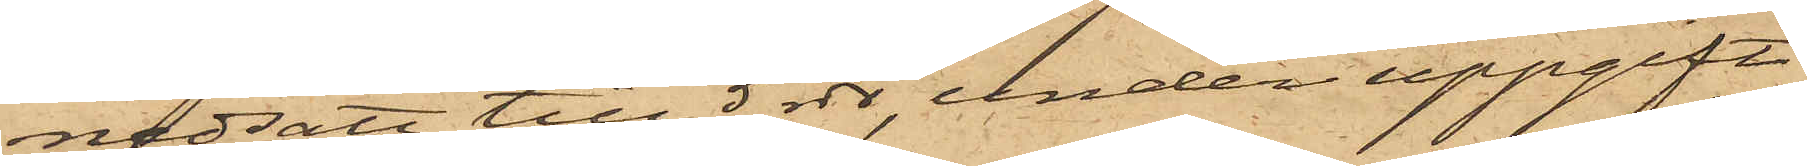nedsatt till 5 rdr, under uppgift
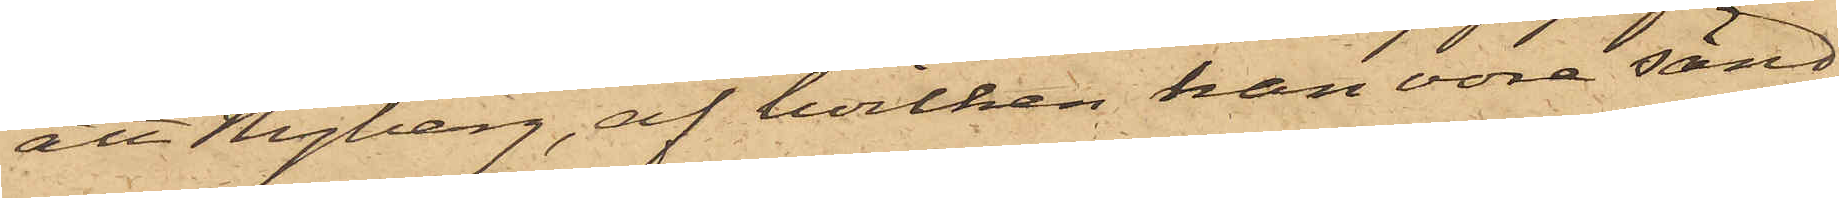att Nyberg, af hvilken han vore sänd,
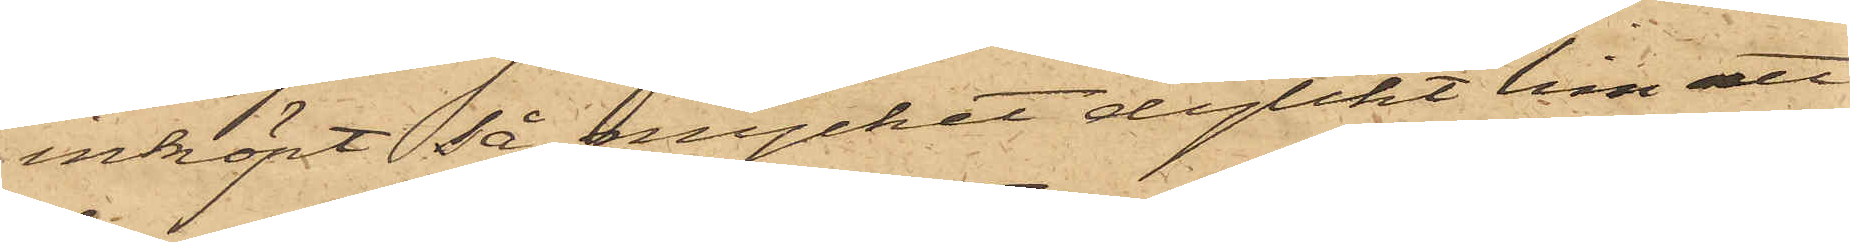inköpt så nycket dylikt lim att
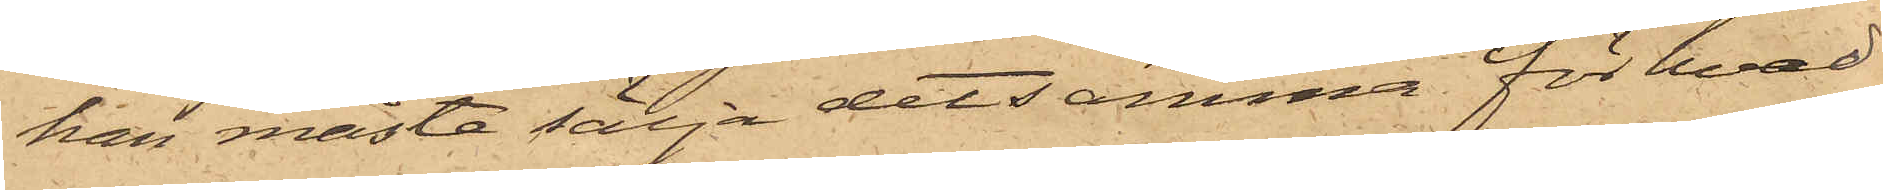han måste sälja detsamma för hvad
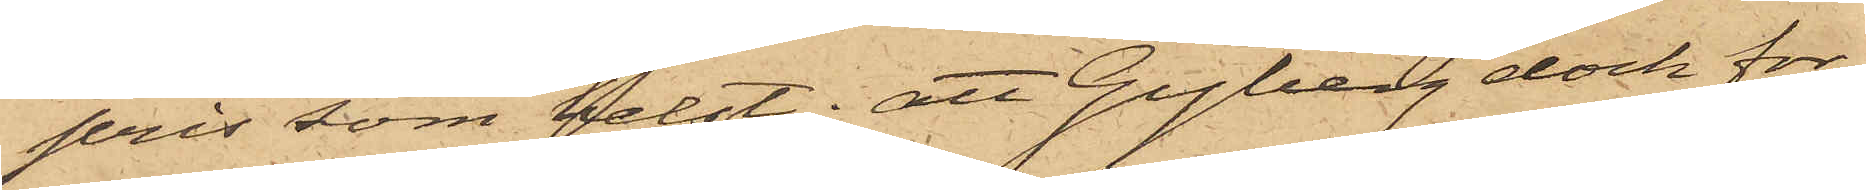pris som helst; att Gyberg dock for¬
